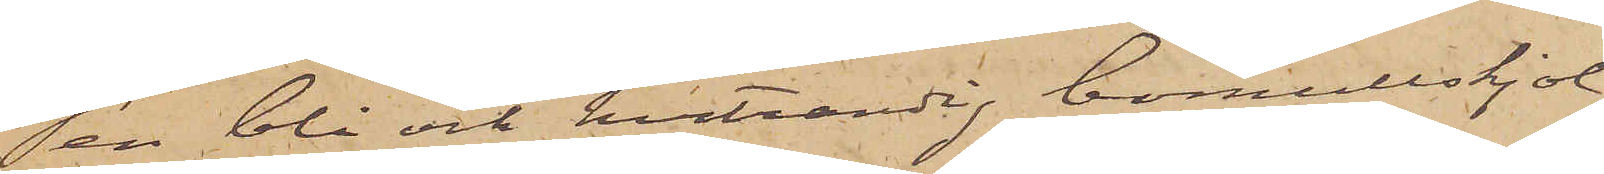en blå och hvitrandig bomullskjol;
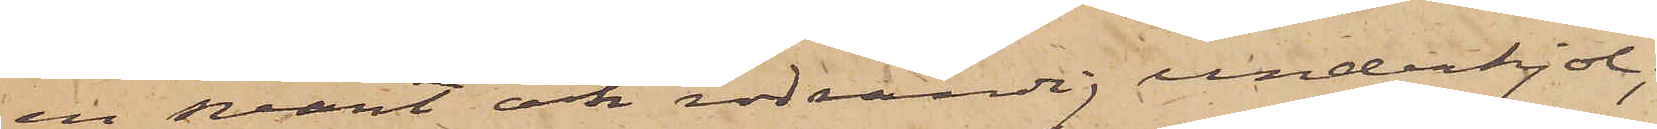en svart och rödrandig underkjol;
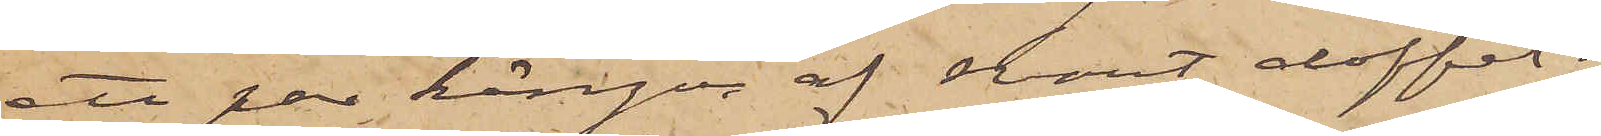ett par kängor af svart doffel;
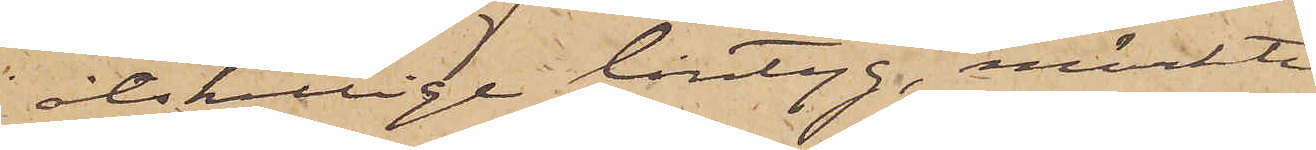åtskilliga lintyg, märkte
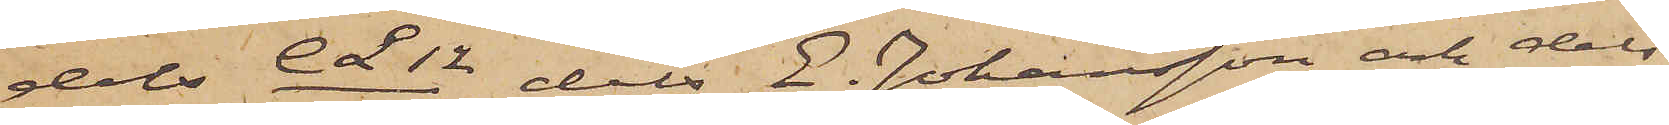dels CL12/1872 dels E. Johansson och dels
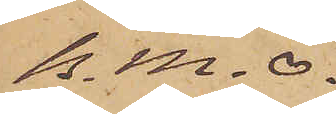B. M. O.
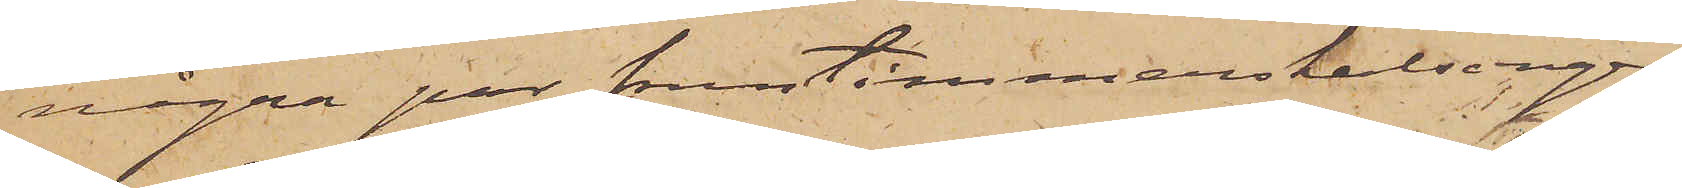några par fruntimmerskalsonger
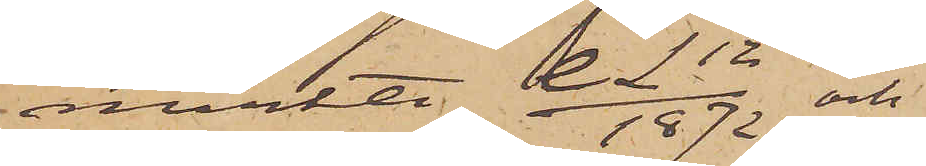märkte CL 12/1872 och
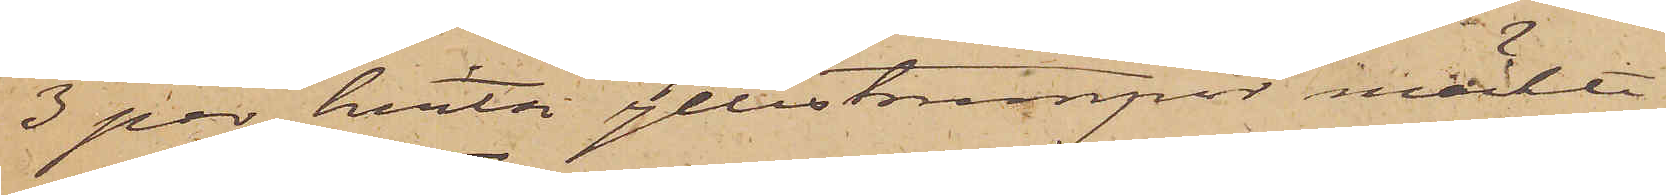3 par hvita yllestrumpor märkte
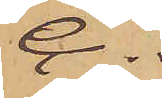C.
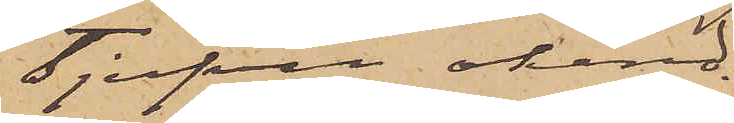Tjufven okänd.
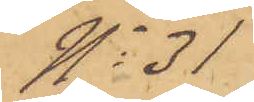No 31
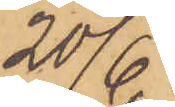20/6
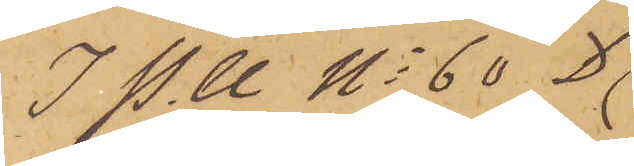I P.U No 60 D
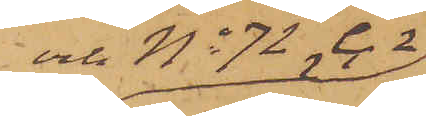och No 72 C 2
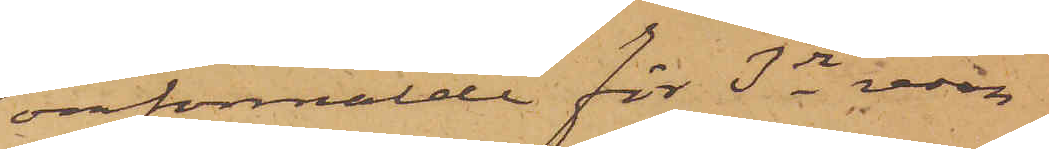omförmälde för 3dje resan
